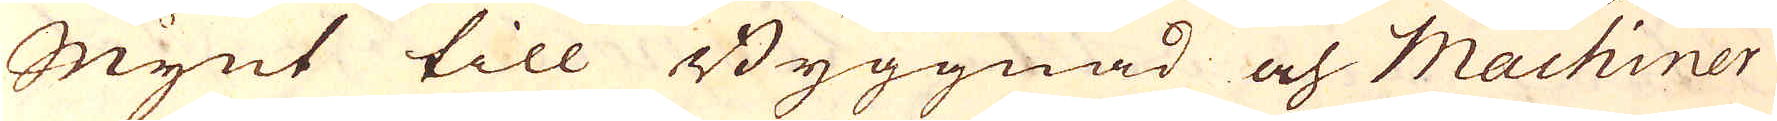Mynt till Byggnad och Machiner
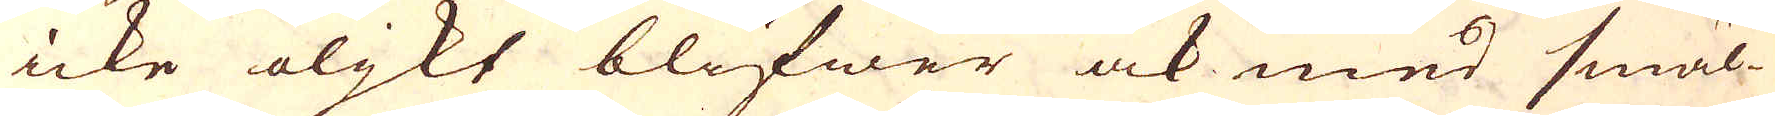icke oljkt blifwer ock med smäl-
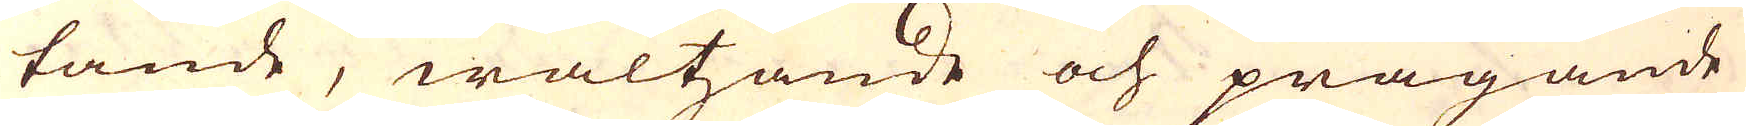tande, waltzande och prägande
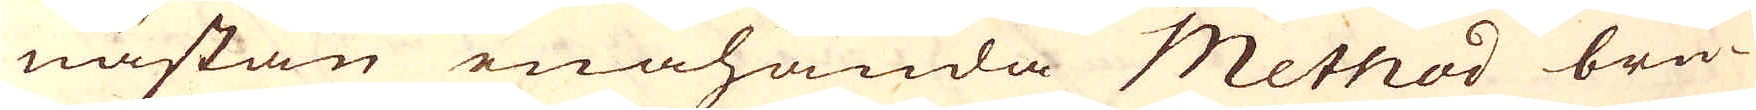nästan enahanda Method bru-
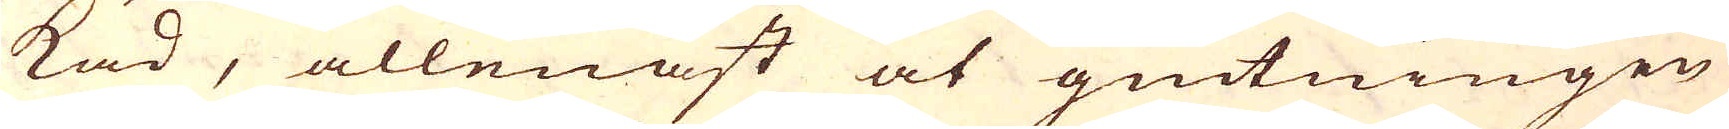kad, allenast at giutningen
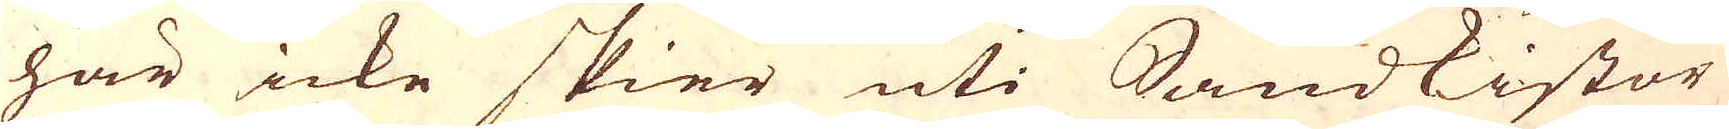här icke skier uti Sandkistor
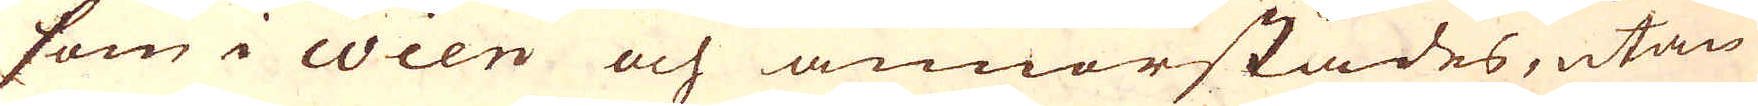som i Wien och annorstädes, utan
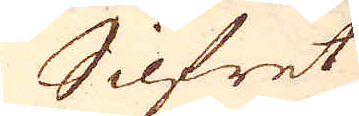Silfret
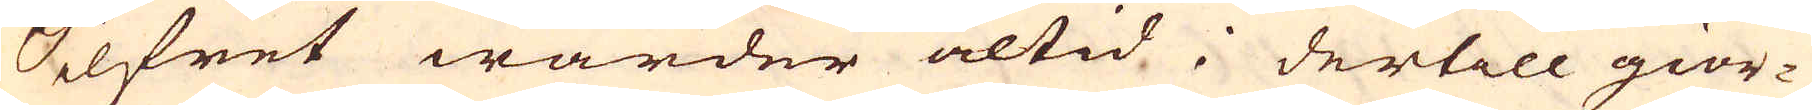Silfret warder altid i dertill gior-
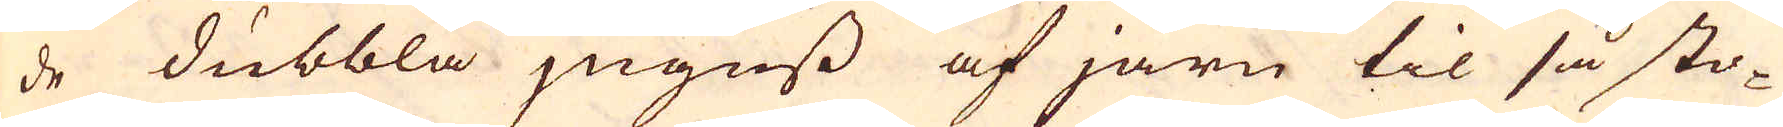de dubbla jnguss af järn til så sto-
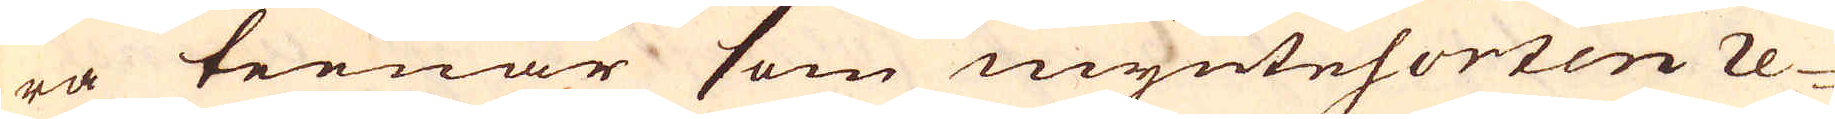ra teenar som myntesorten re-
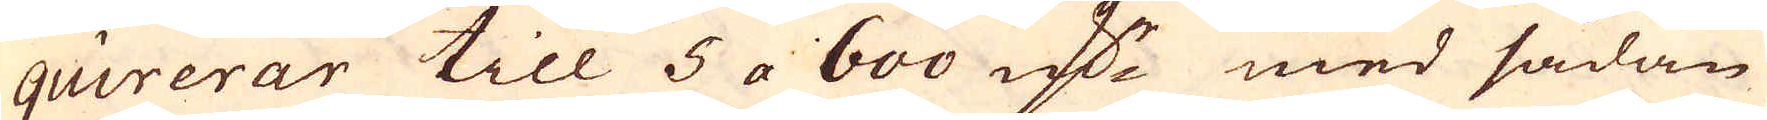quirerar till 5 a 600 marker med sådan
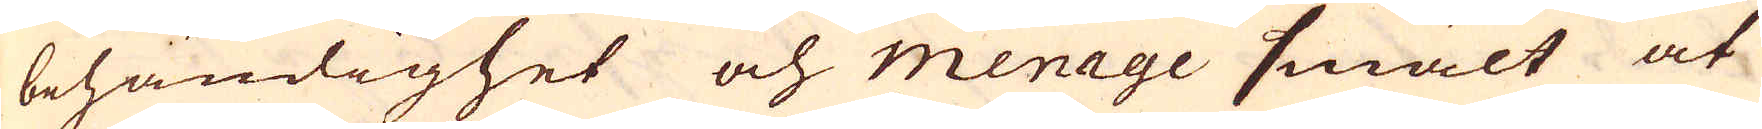behändighet och menage smält at
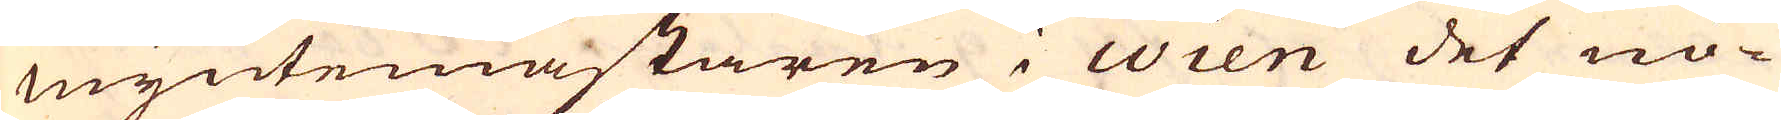Myntemästaren i Wien det nö-
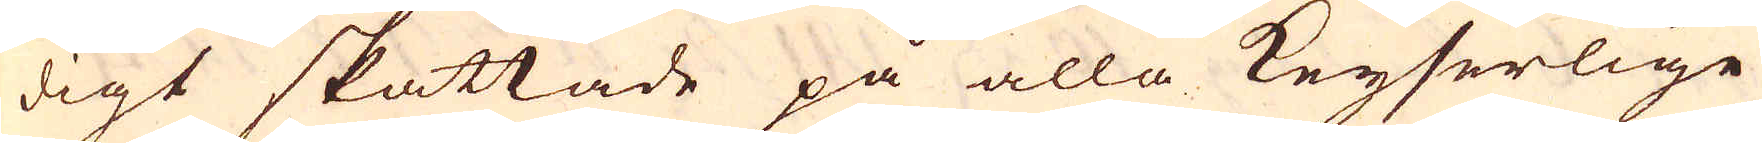digt skattade på alla Keyserlige
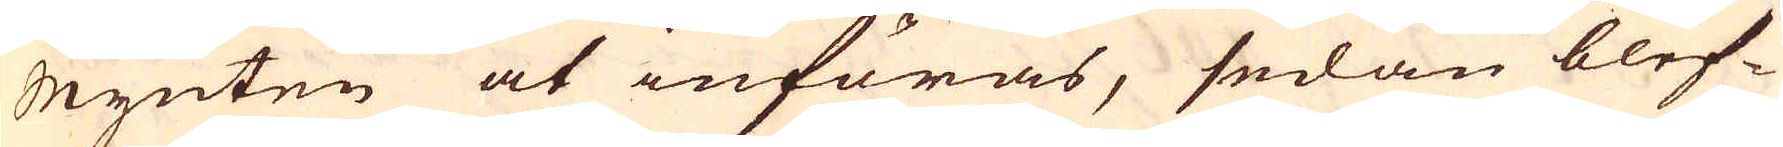Mynten at införas, sedan blef-
